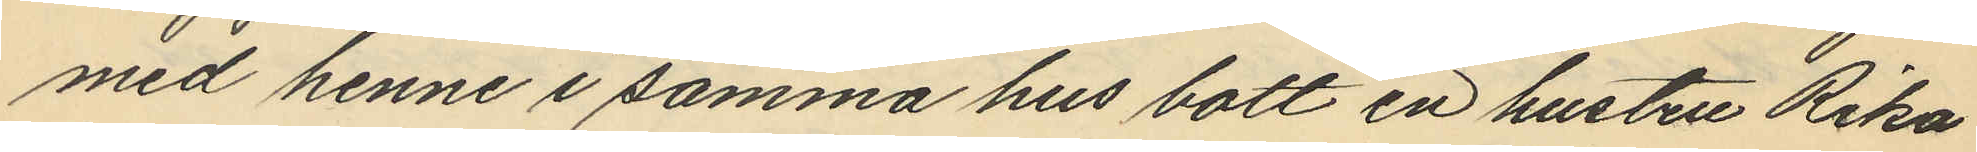med henne i samma hus bott en hustru Rika
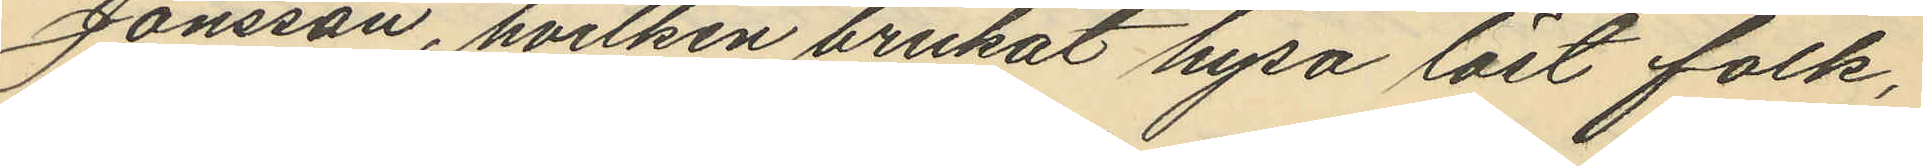Jonsson, hvilken brukat hysa löst folk,
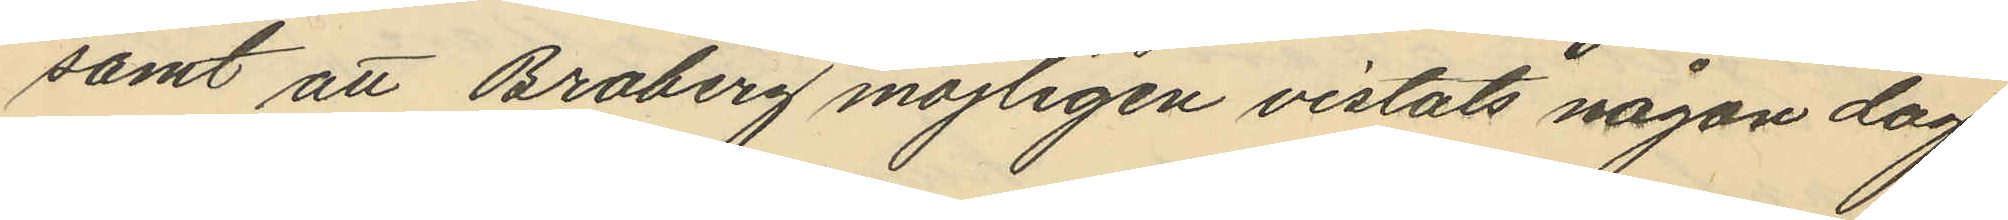samt att Broberg möjligen vistats någon dag
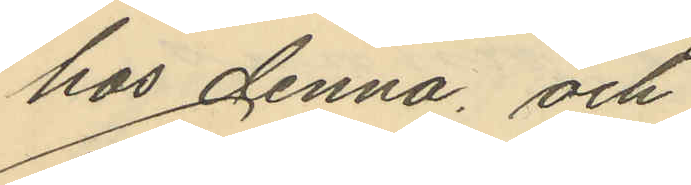hos denna, och
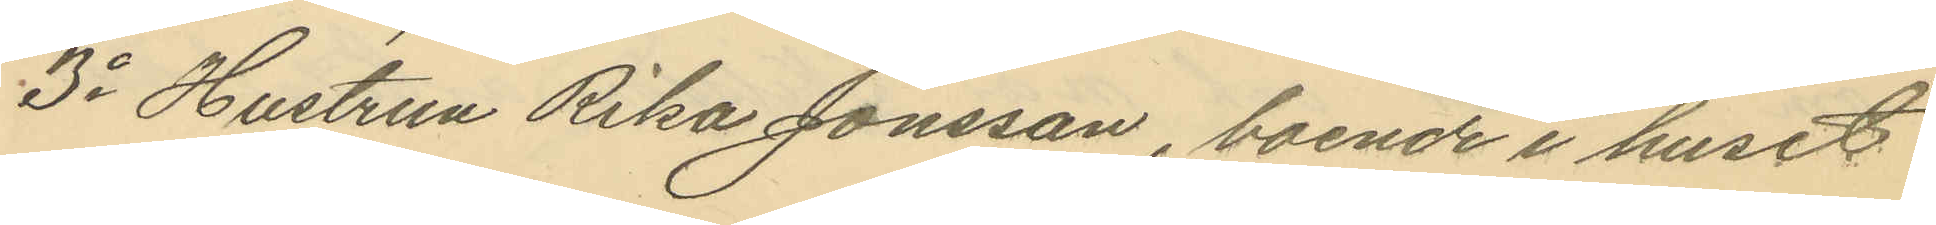3o Hustrun Rika Jonsson, boende i huset
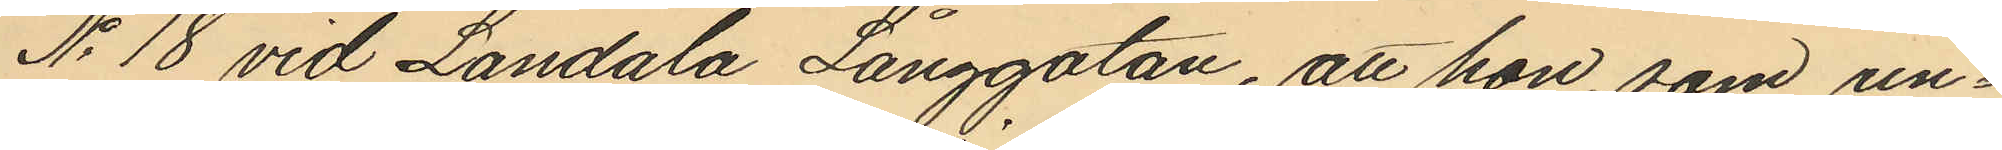No 18 vid Landala Långgatan, att hon, som un¬
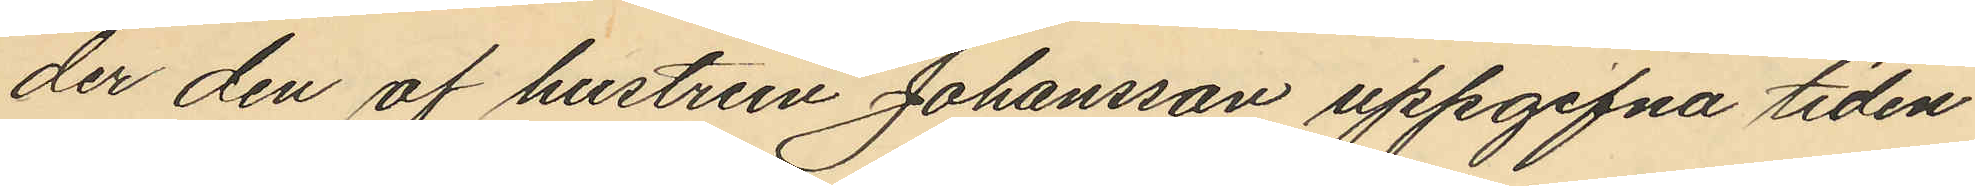der den af hustrun Johansson uppgifna tiden
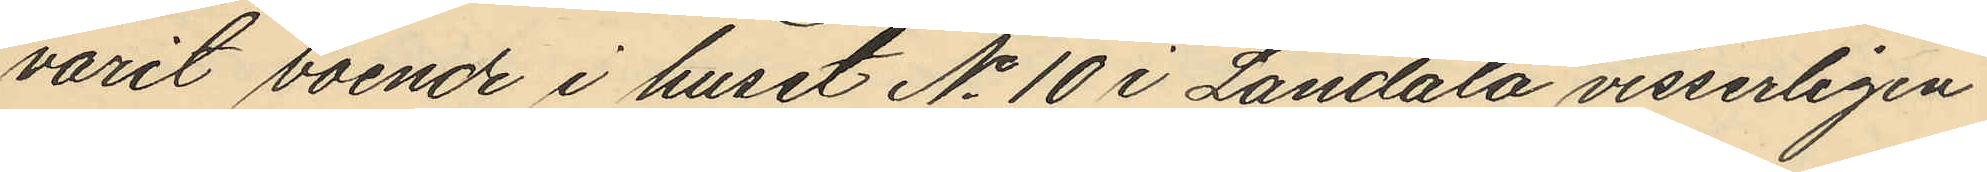varit boende i huset No 10 i Landala visserligen
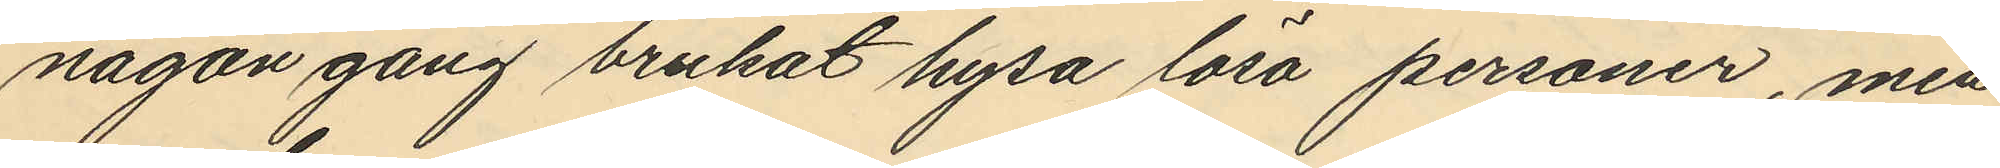någon gång brukat hysa lösa personer, men
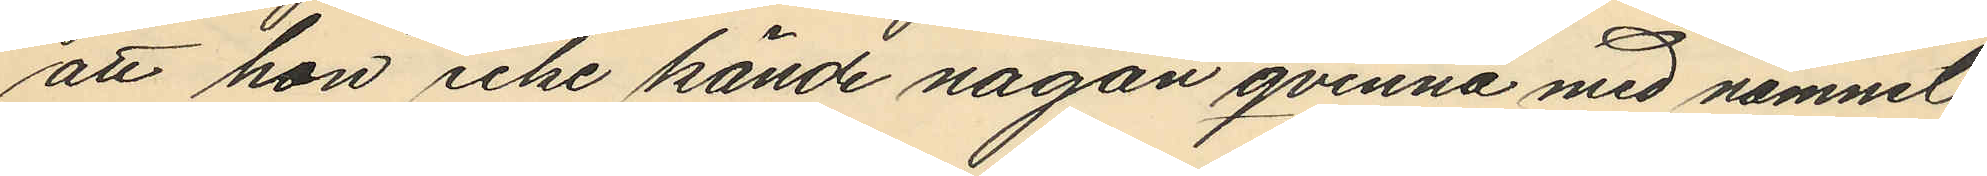att hon icke kände någon qvinna med namnet
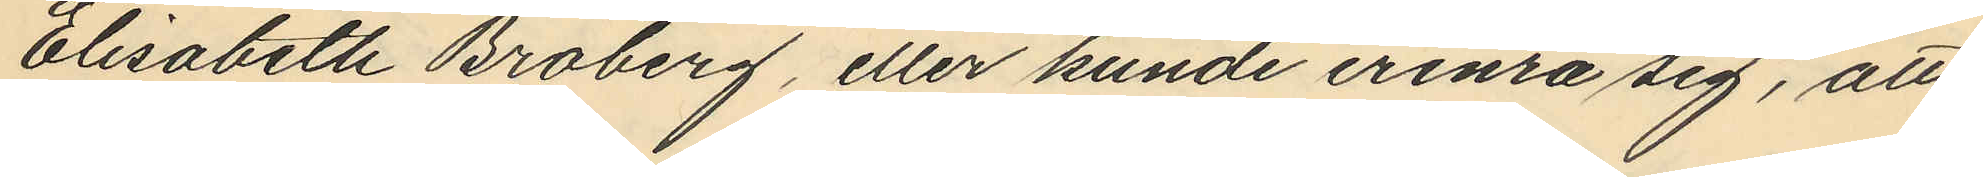Elisabeth Broberg, eller kunde erinra sig, att
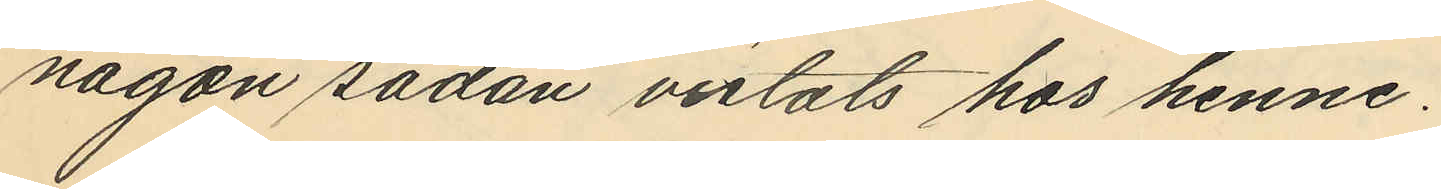någon sådan vistats hos henne.
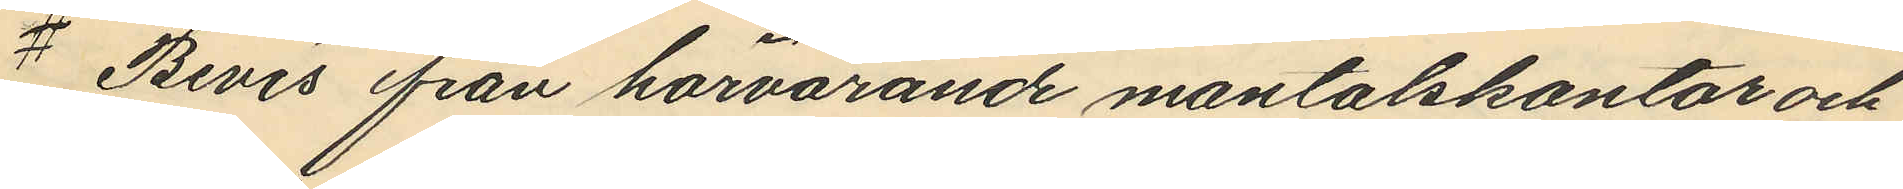# Bevis från härvarande mantalskontor och
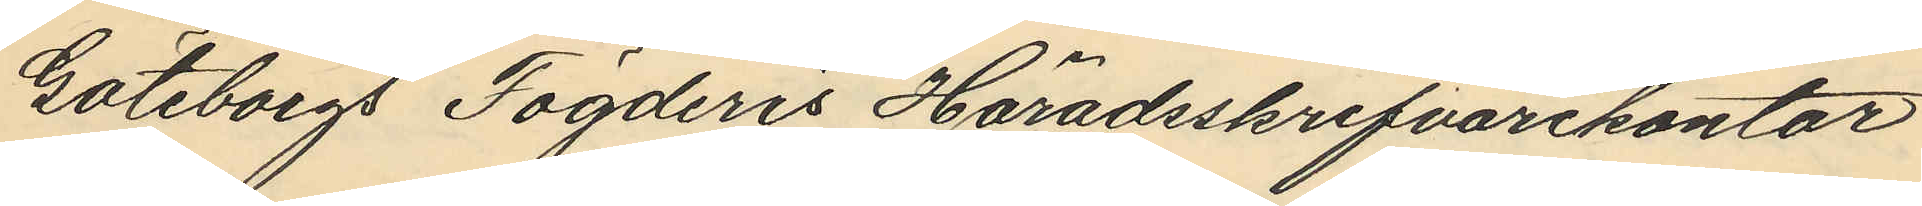Göteborgs Fögderis Häradsskrifvarekontor
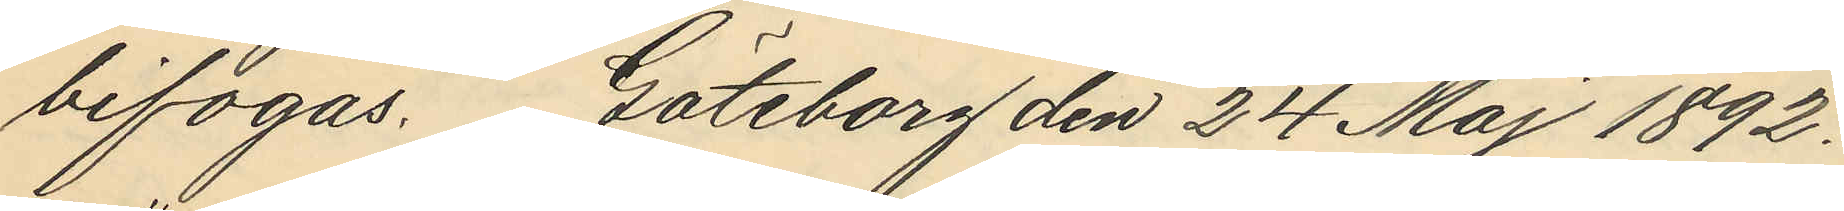bifogas. Göteborg den 24 Maj 1892.
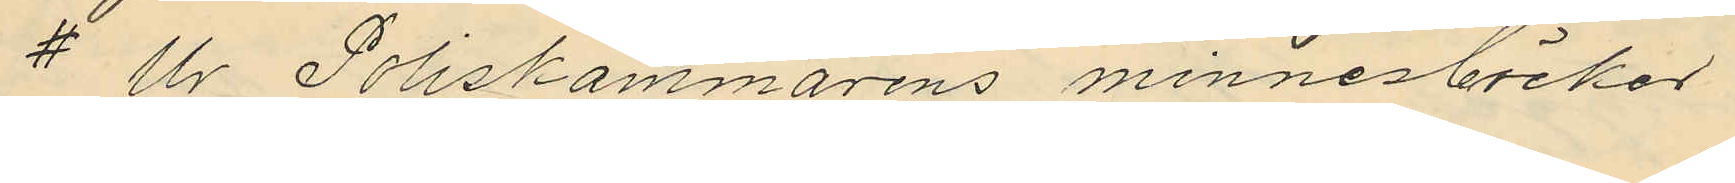# Ur Poliskammarens minnesböcker
